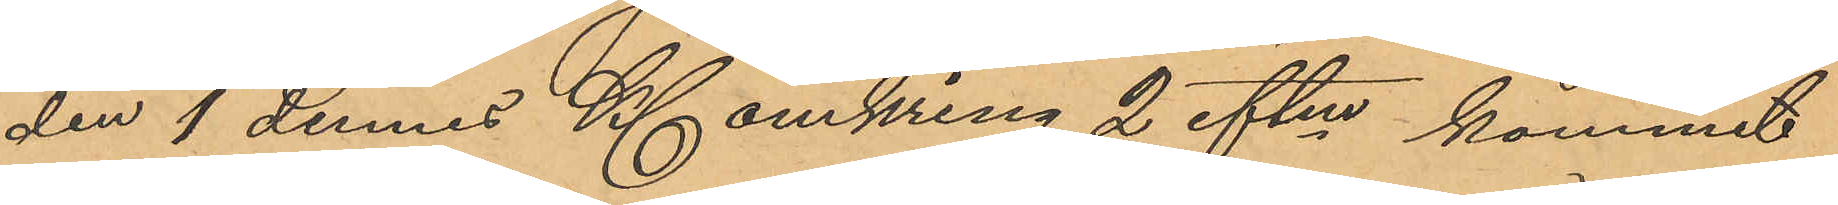den 1 dennes Kl omkring 2 eftm kommit
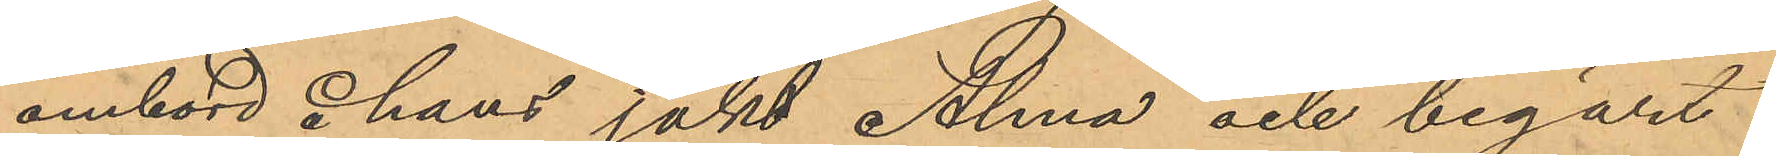ombord å hans jakt Alma och begärt
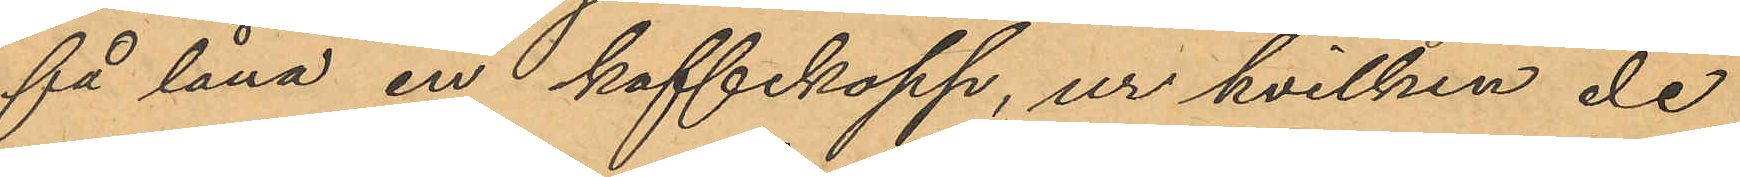få låna en kaffekopp, ur hvilken de
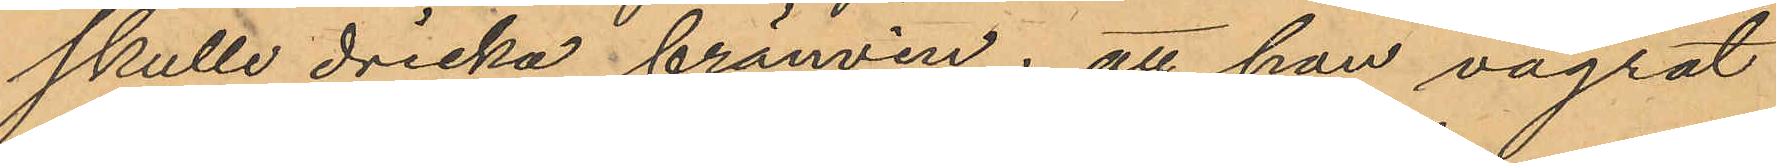skulle dricka brännvin; att han vägrat
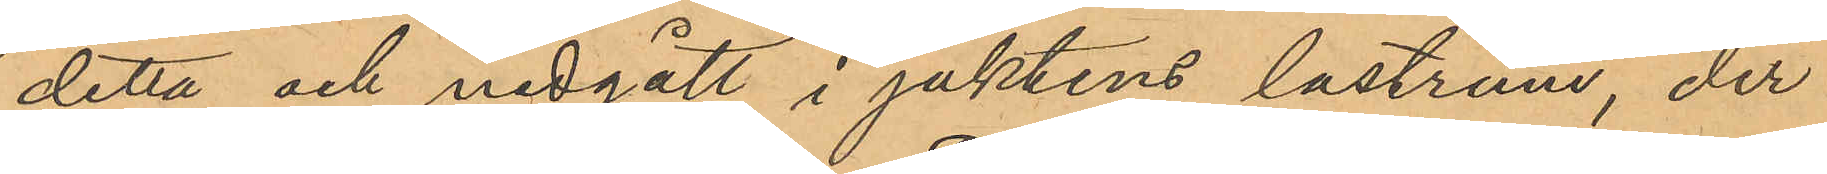detta och nedgått i jaktens lastrum, der
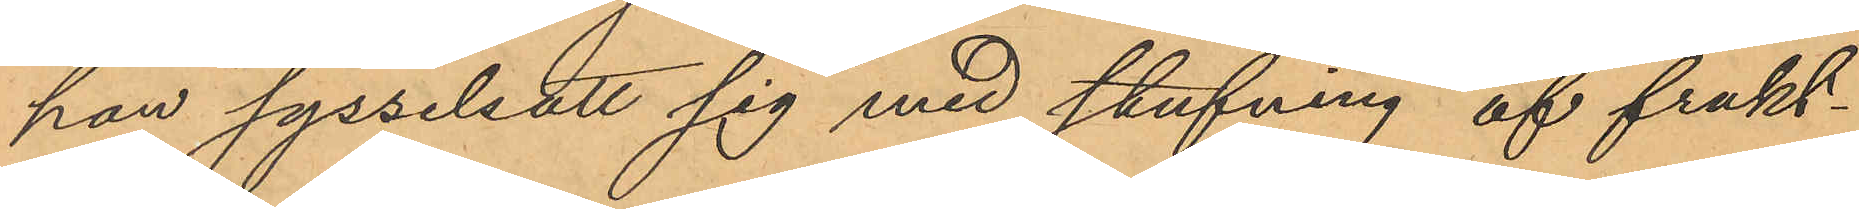han sysselsatt sig med stufning af frukt¬
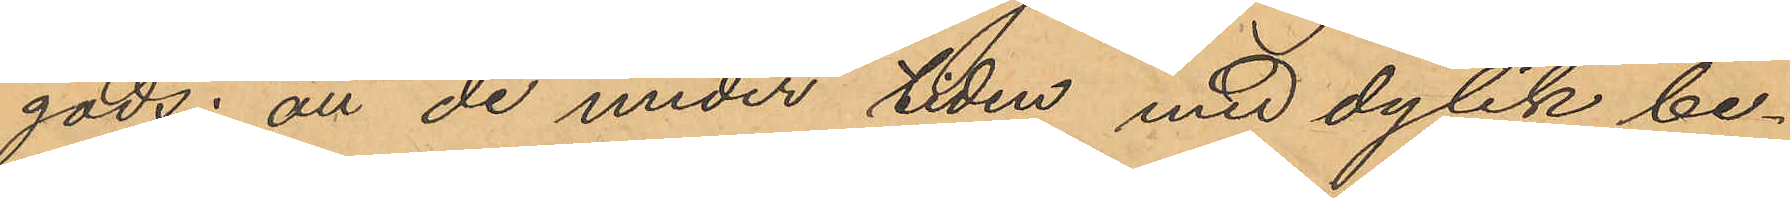gods; att de under tiden med dylik be¬
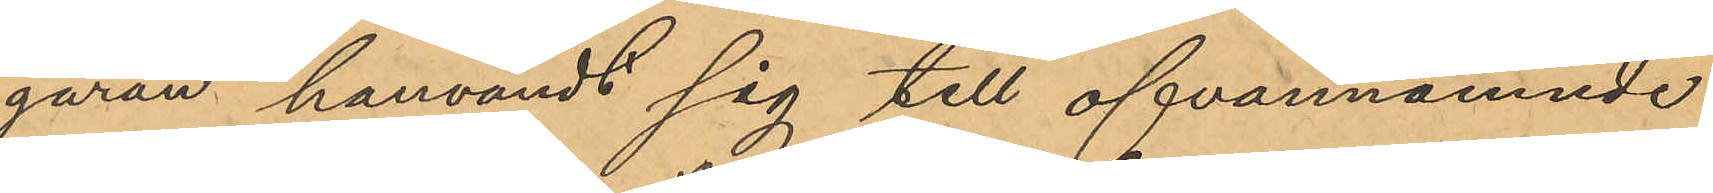gäran hänvändt sig till ofvannämnde
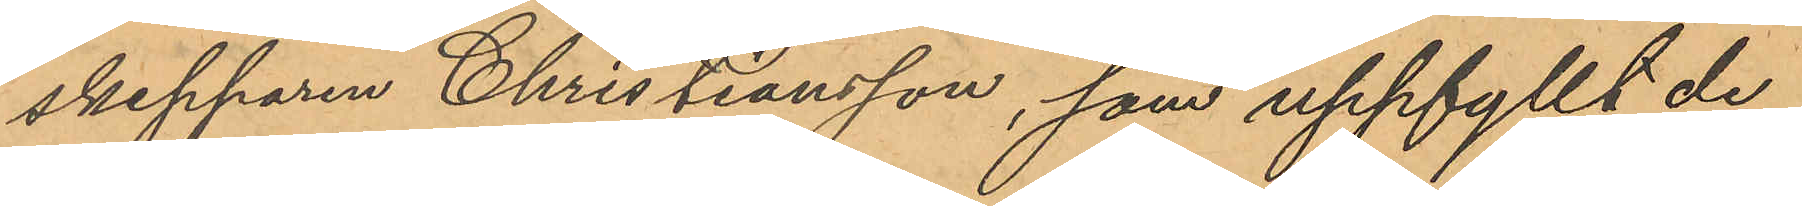skepparen Christiansson, som uppfyllt de¬
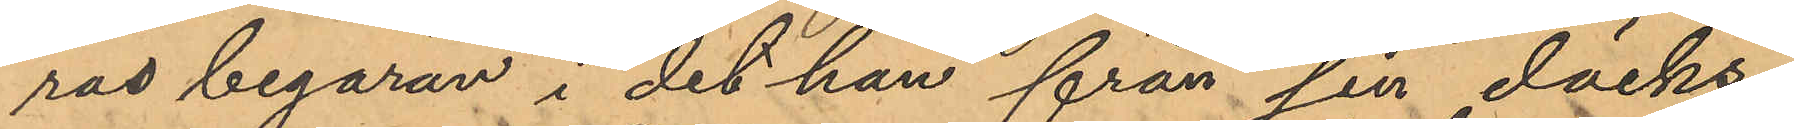ras begäran i det han från sin däcks¬
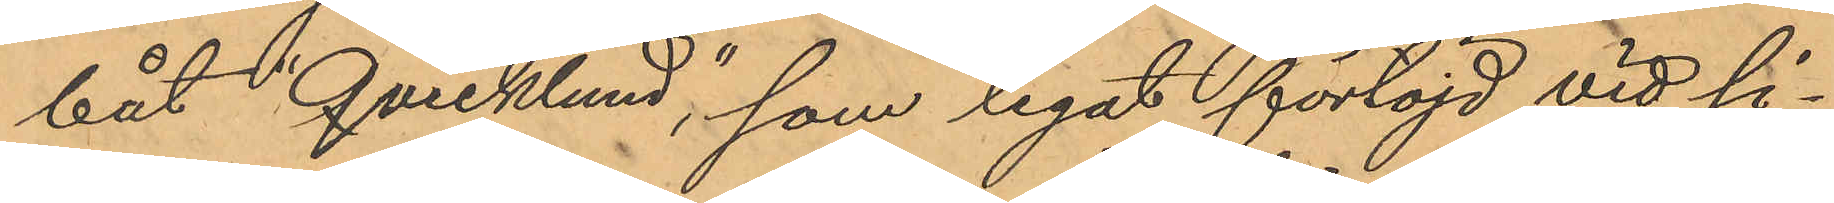båt "Quicklund", som legat förtöjd vid si¬
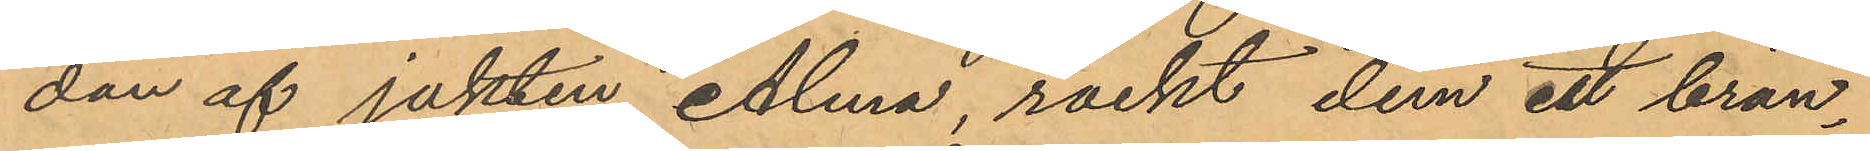dan af jakten Alma, räckt dem ett brän¬
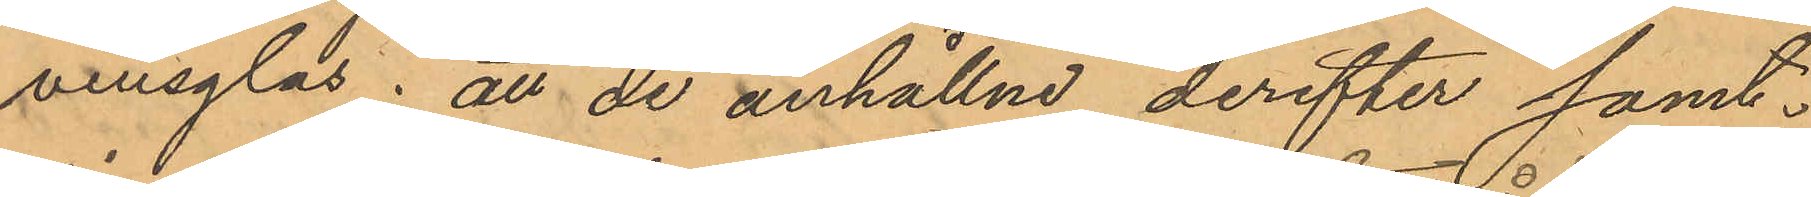vinsglas; att de anhållne derefter samt¬
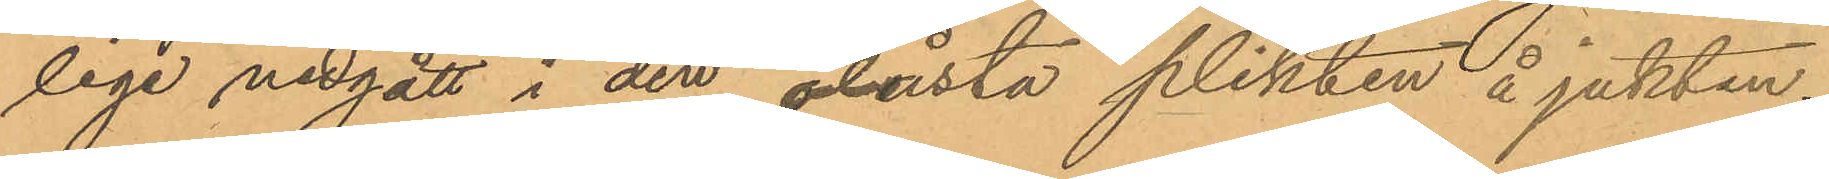lige nedgått i den olåsta plikten å jakten;
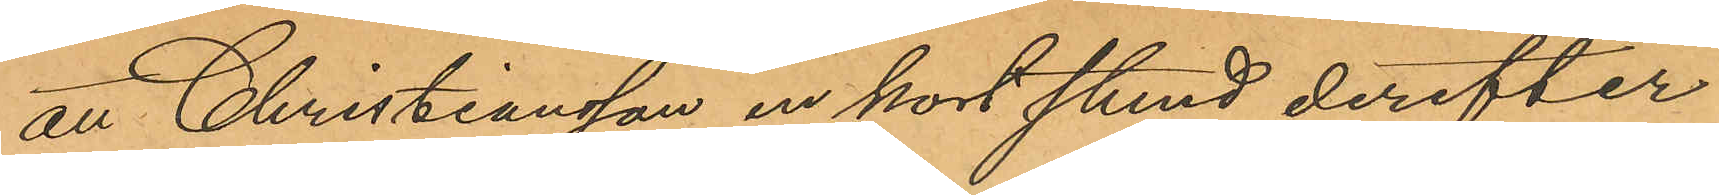att Christiansson en kort stund derefter
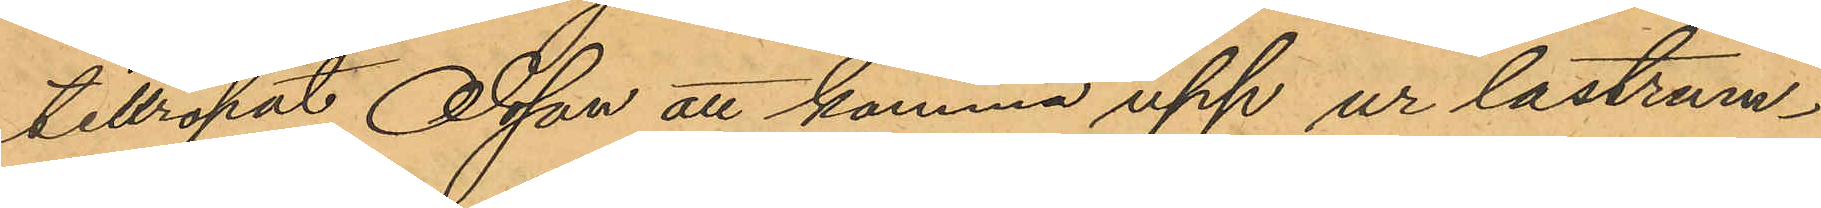tillropat Olsson att komma upp ur lastrum¬
